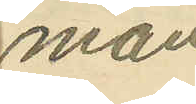man
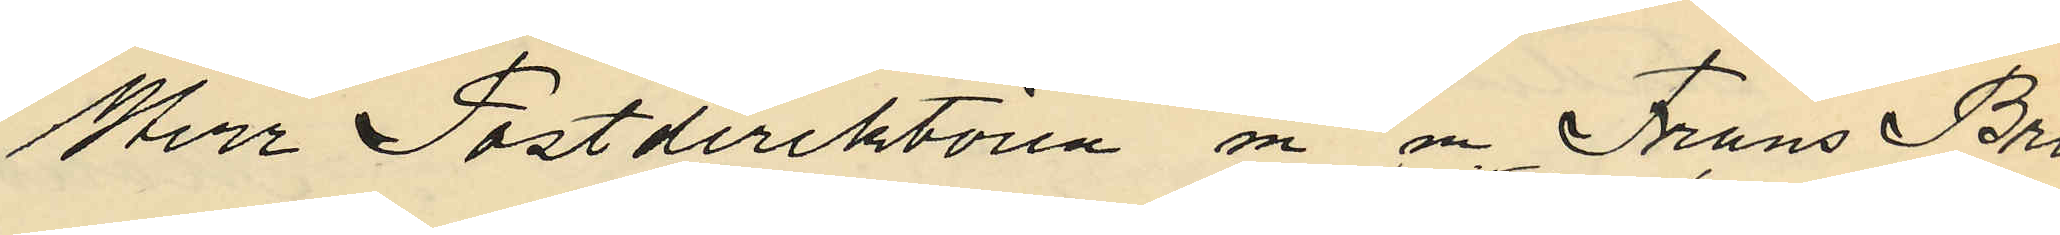Herr Postdirektören m m Frans Bro¬
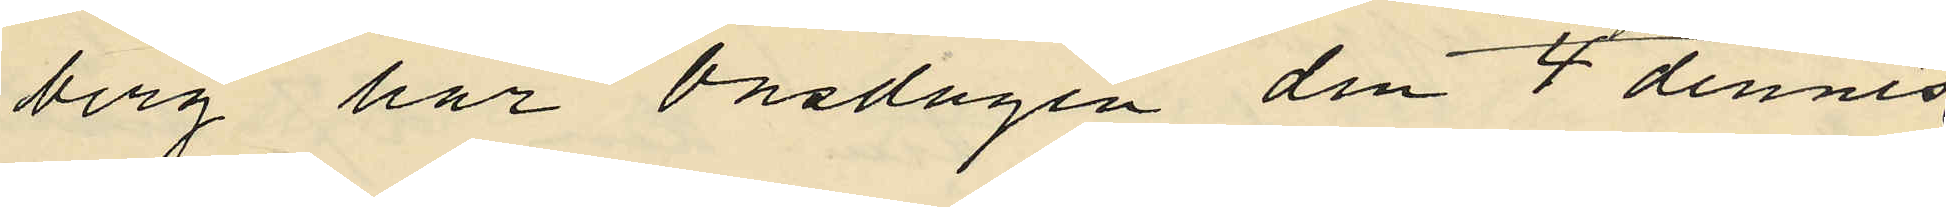berg har Onsdagen den 4 dennes
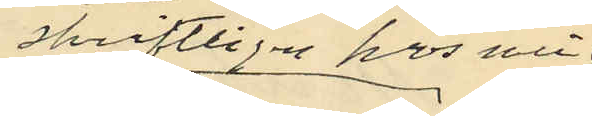skriftligen hos mig
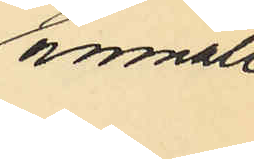anmält
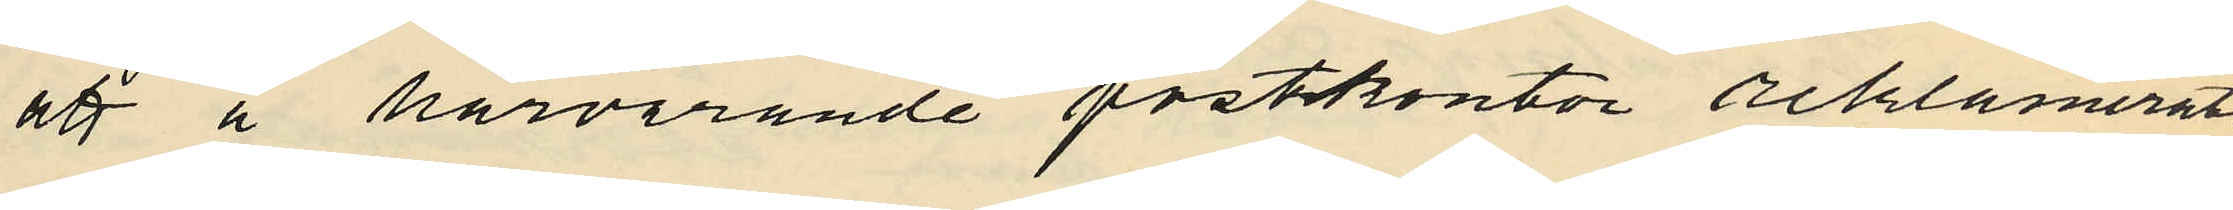att å härvarande postkontor reklamerats
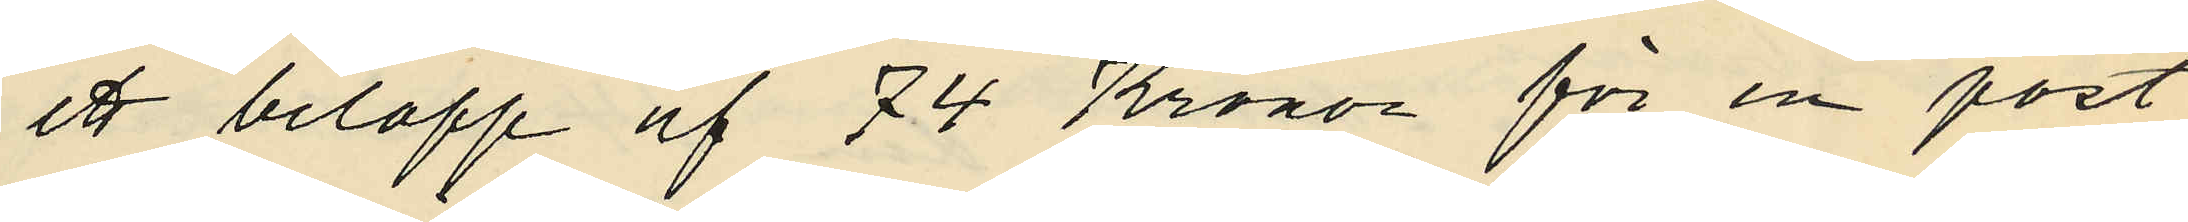ett belopp af 74 Kronor för en post
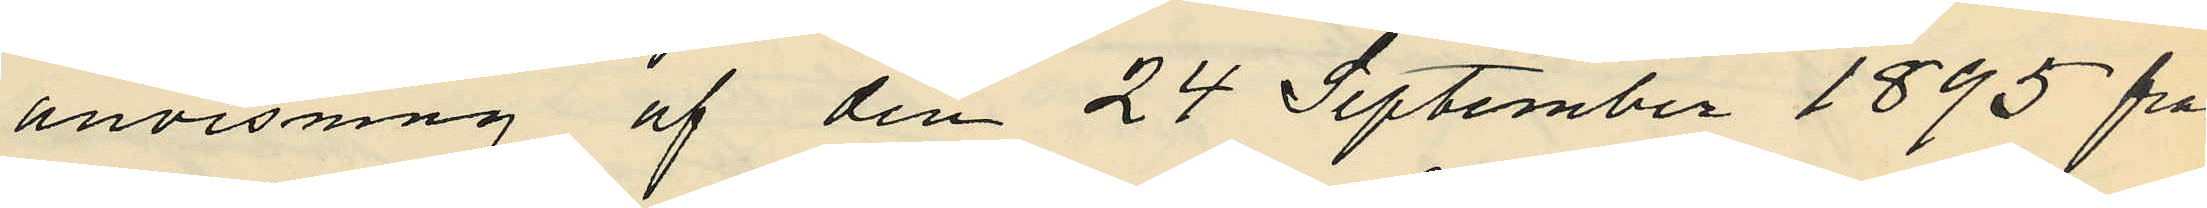anvisning af den 24 September 1895 från
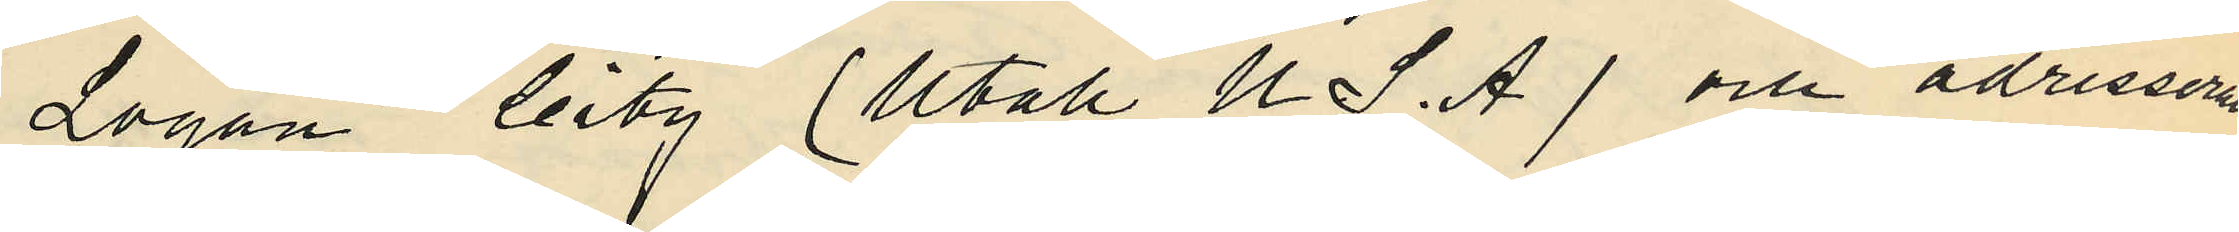Logan city (Utah U.S.A) om adresserad
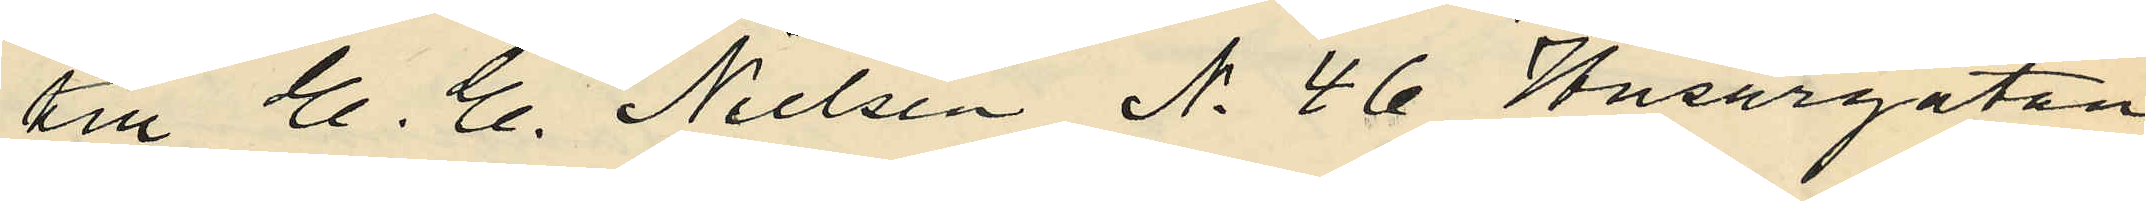till E. E. Nielsen No 46 Husargatan
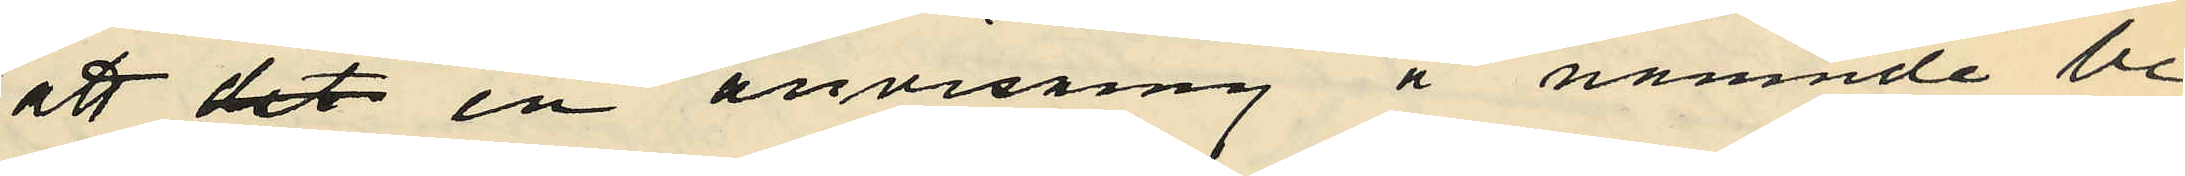att det en anvisning å nämnde be¬
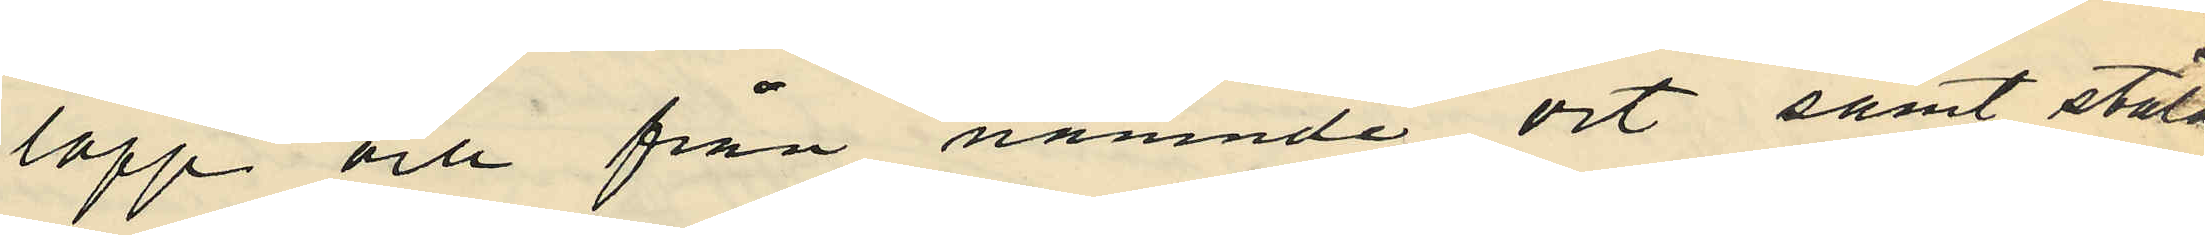lopp och från nämnde ort samt stäld
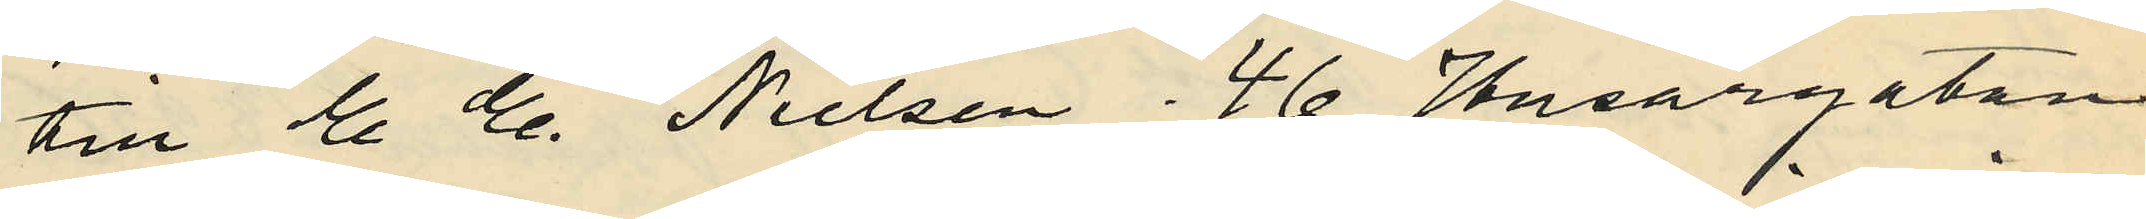till E. E. Nielsen 46 Husargatan
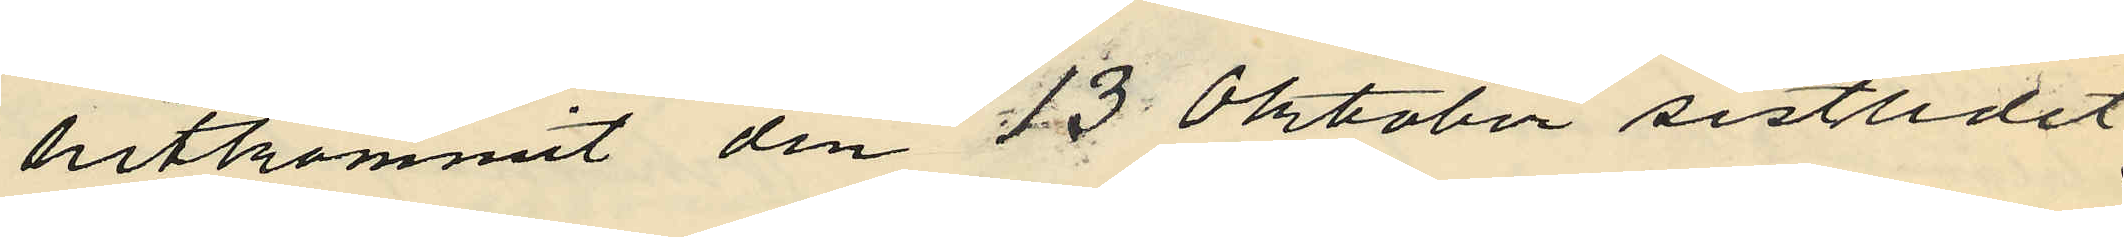hitkommit den 23 Oktober sistlidet
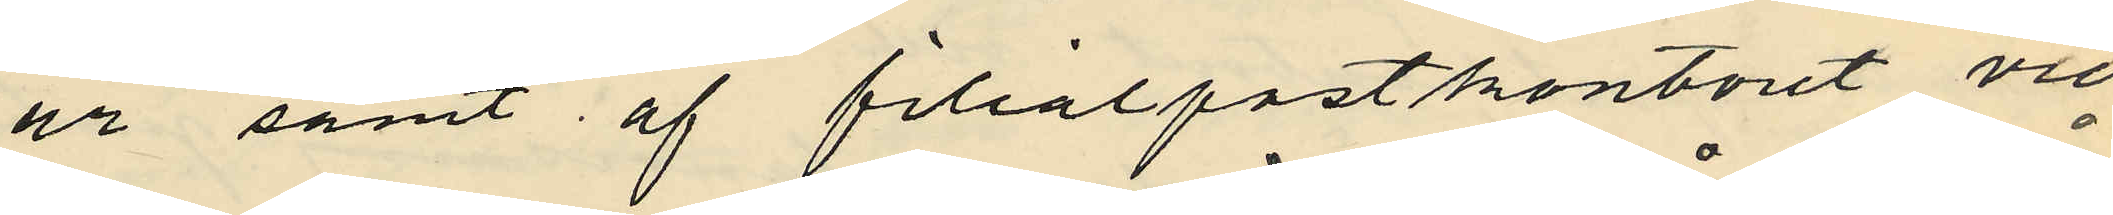år samt af filialpostkontoret vid
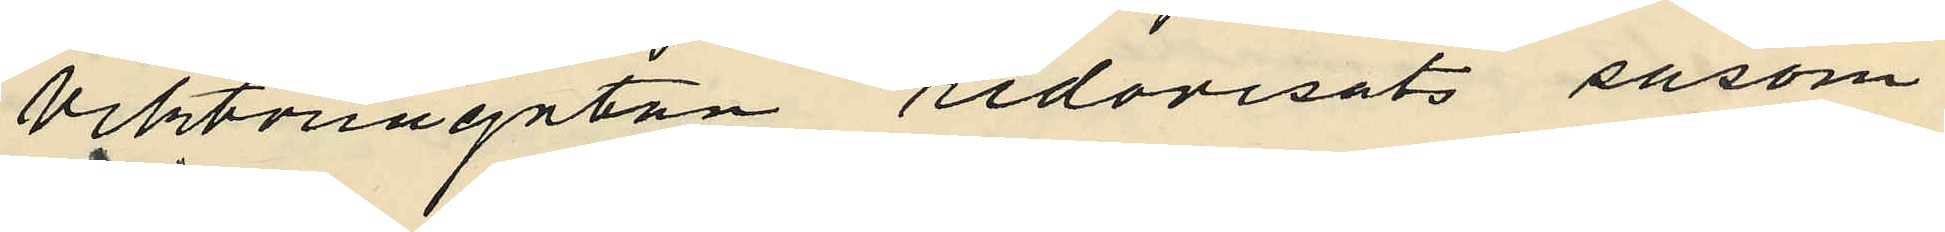viktoriagatan redovisats såsom
